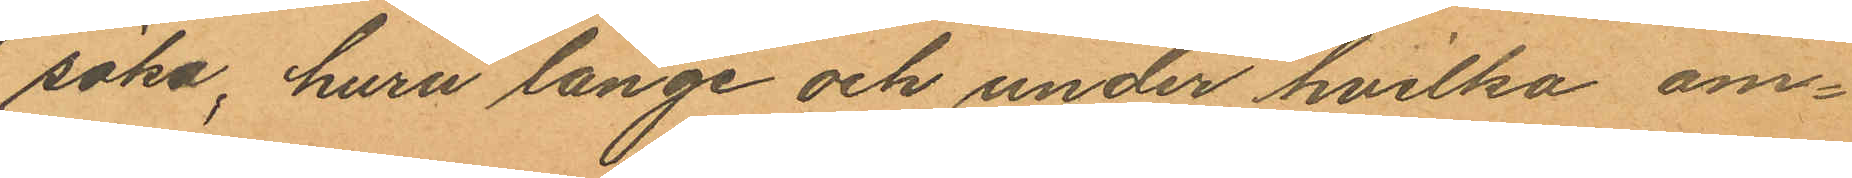söka, huru länge och under hvilka om¬
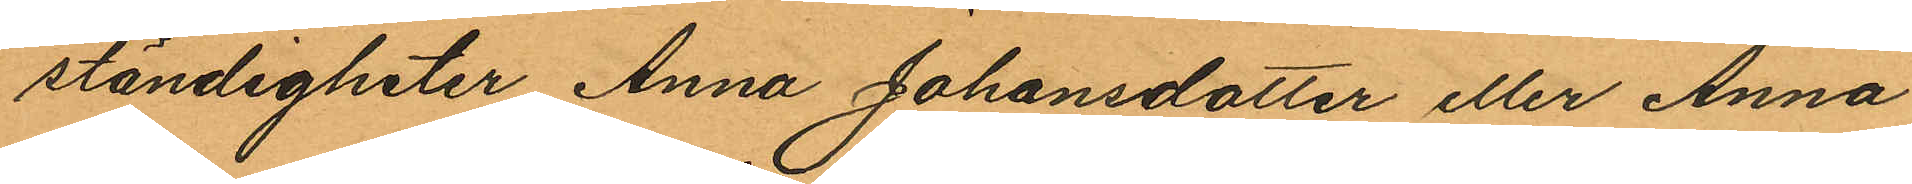ständigheter Anna Johansdotter eller Anna
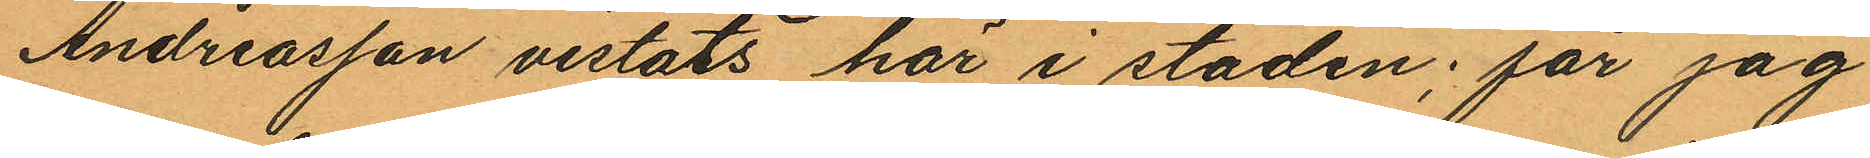Andreasson vistats här i staden; får jag
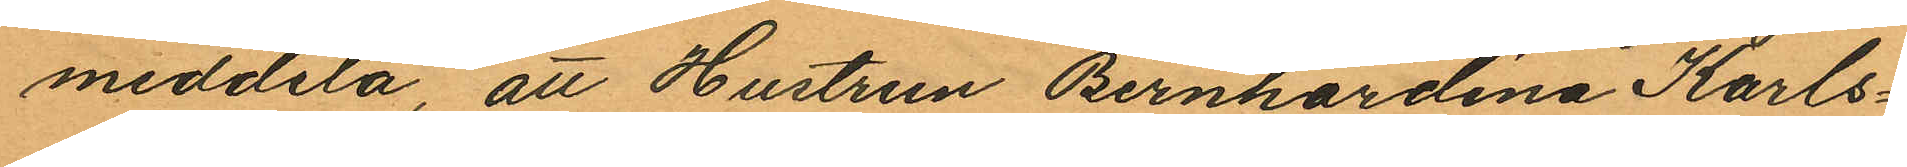meddela, att Hustrun Bernhardina Karls¬
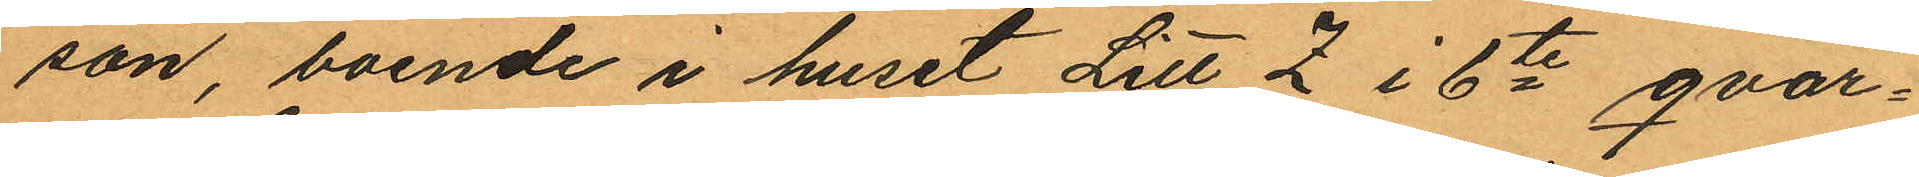son, boende i huset Litt Z i 6te qvar¬
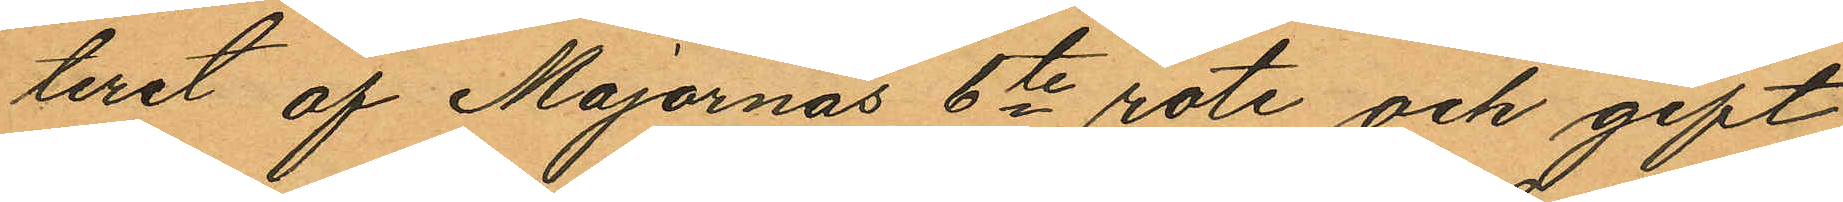teret af Majornas 6te rote och gift
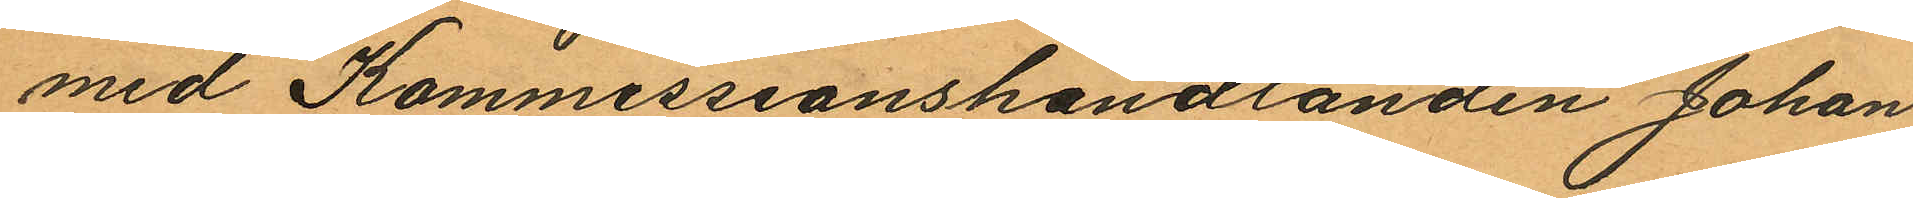med Kommissionshandlanden Johan
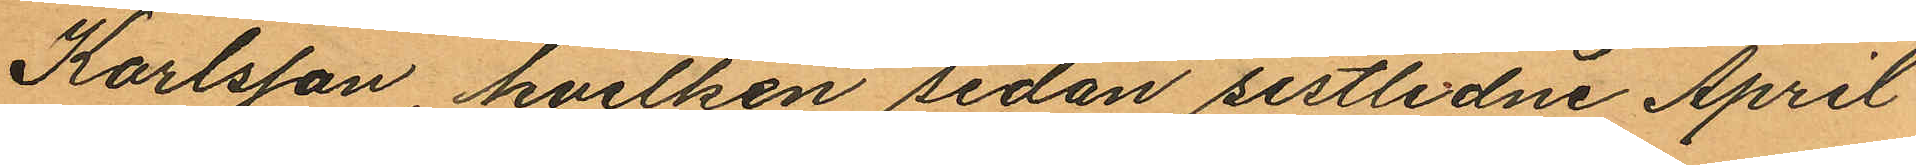Karlsson, hvilken sedan sistlidne April
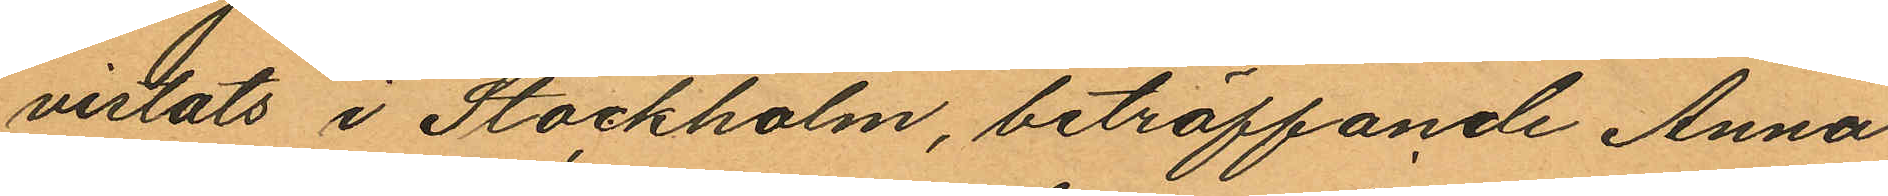vistats i Stockholm, beträffande Anna
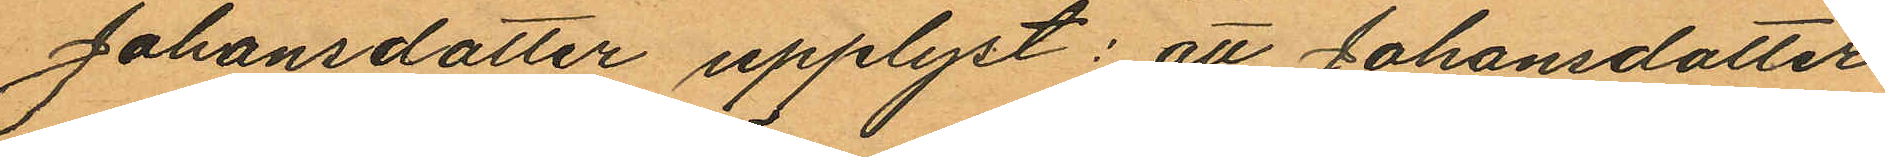Johansdotter upplyst: att Johansdotter
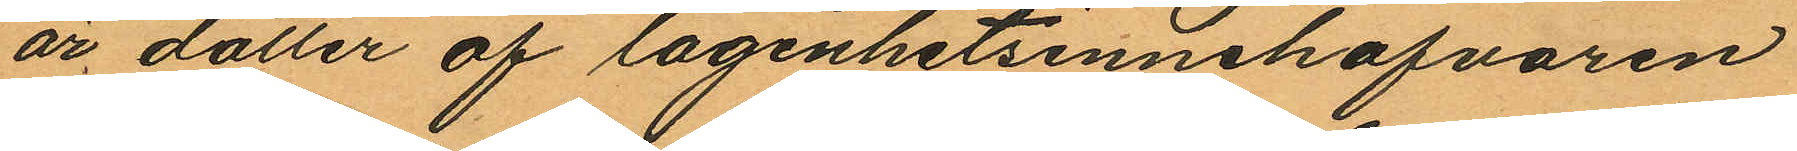är dotter af lägenhetsinnehafvaren
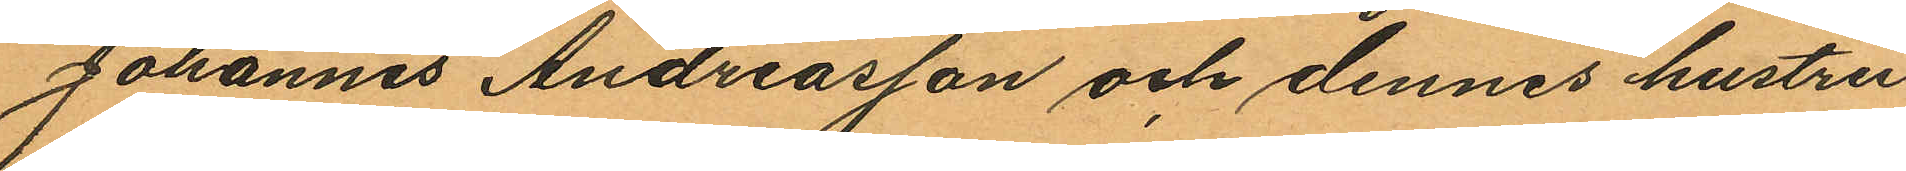Johannes Andreasson och dennes hustru
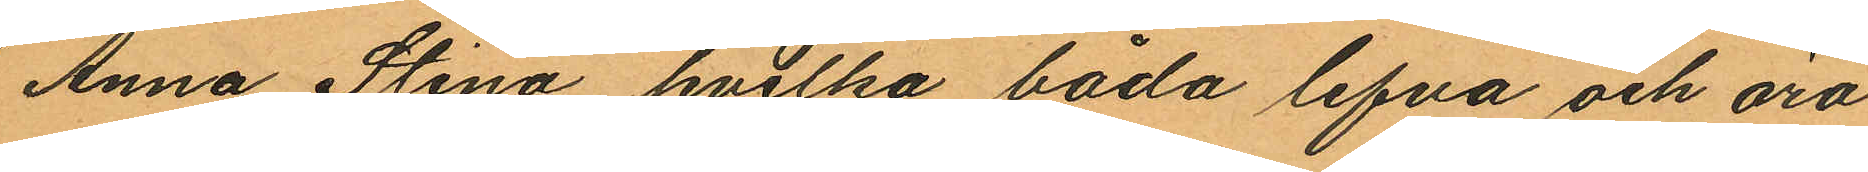Anna Stina hvilka båda lefva och äro
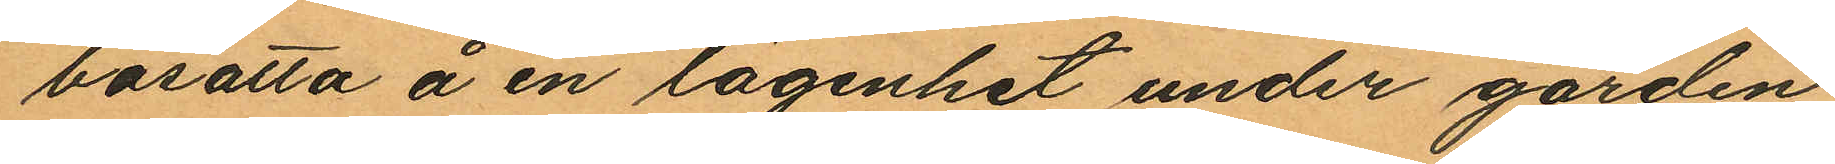bosatta å en lägenhet under gården
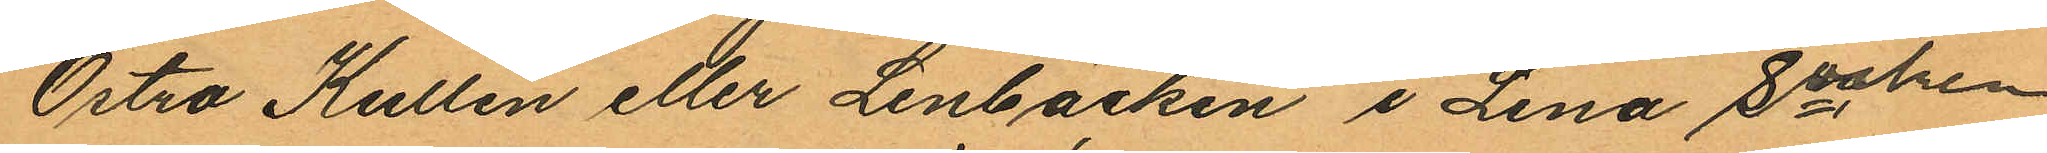Östra Kullen eller Lenbäcken i Lena Socken
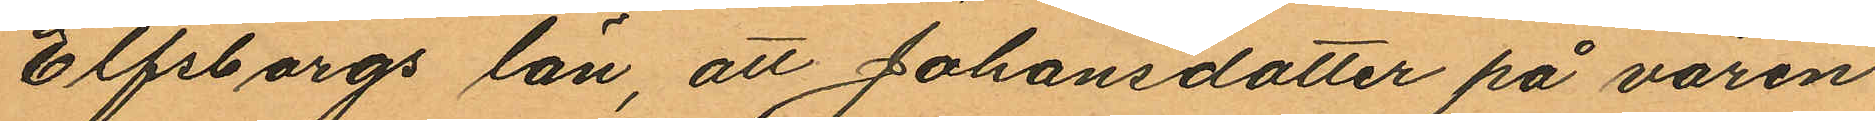Elfsborgs län, att Johansdotter på våren
